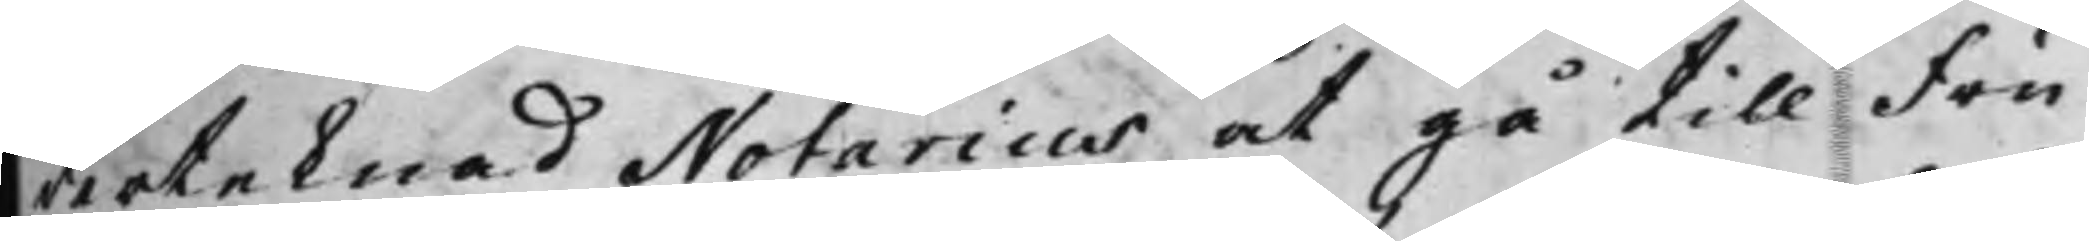derteknad Notarius at gå till Fru
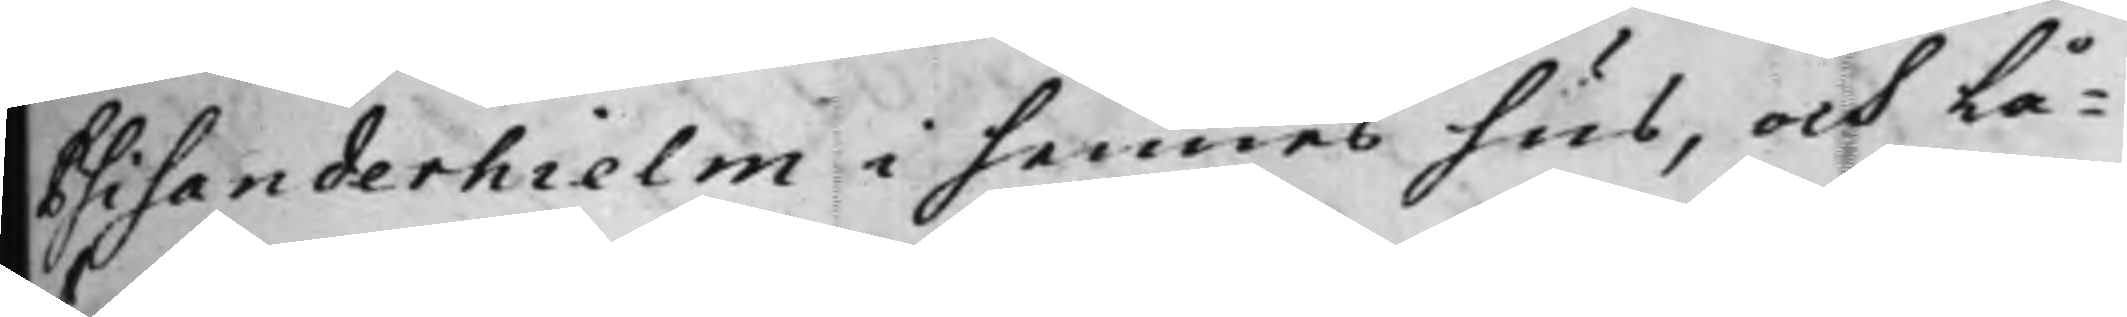Psilanderhielm i hennes hus, och Lå¬
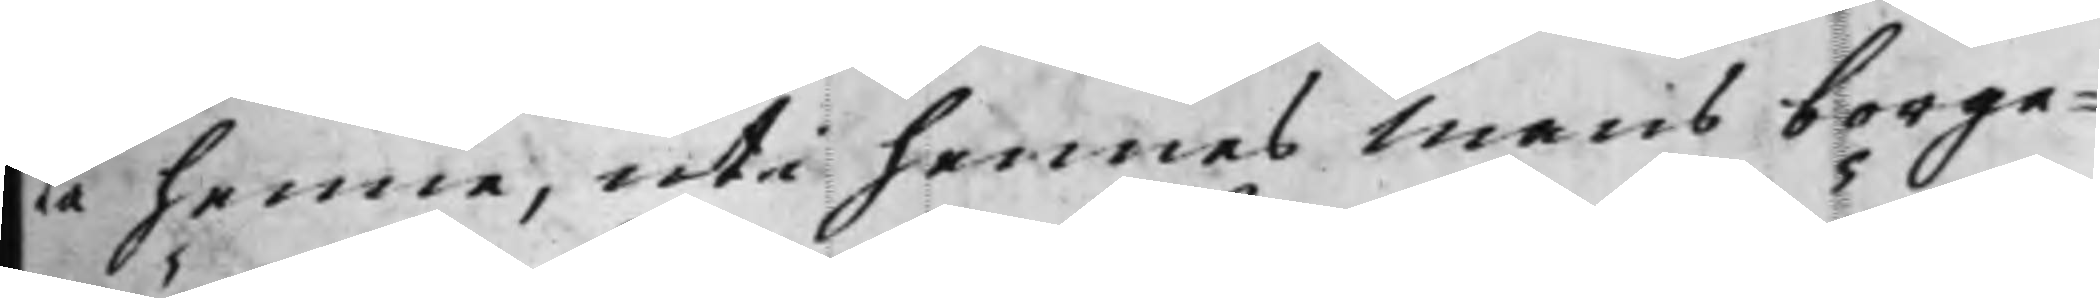ta henne, uti hennes Mans borge¬
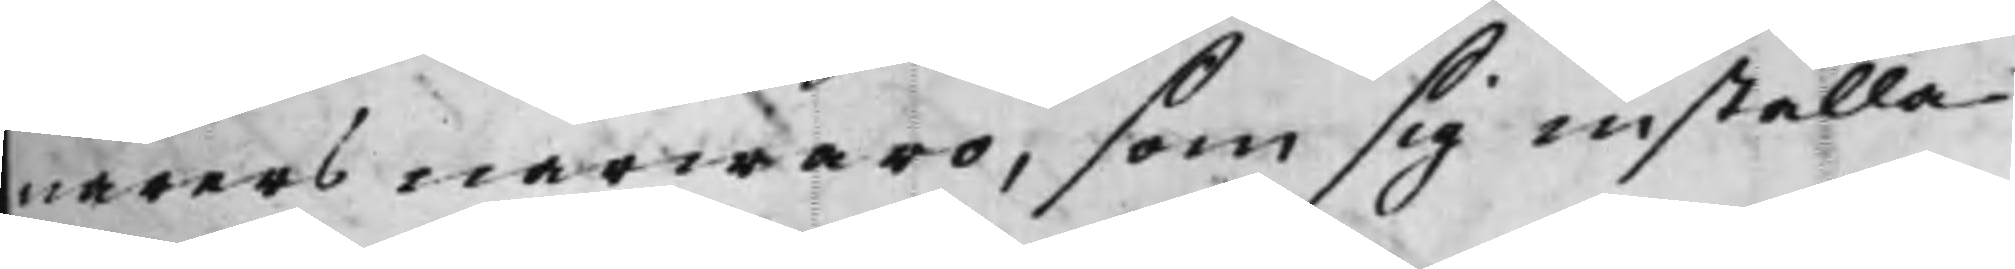närers närwaro, som sig inställa
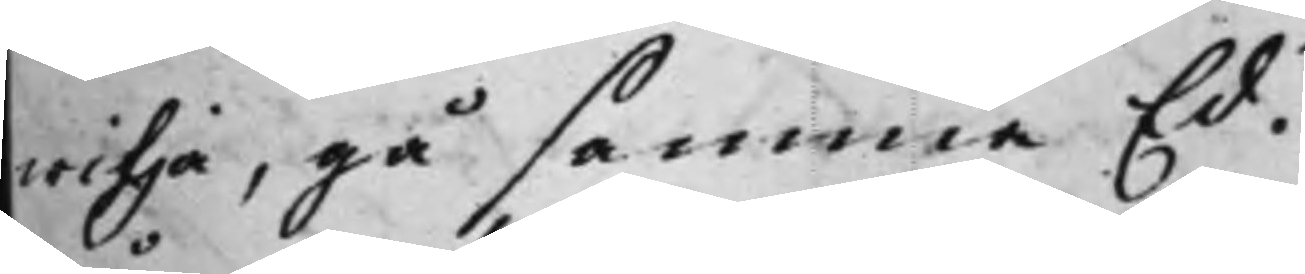wilja, gå samma Ed.
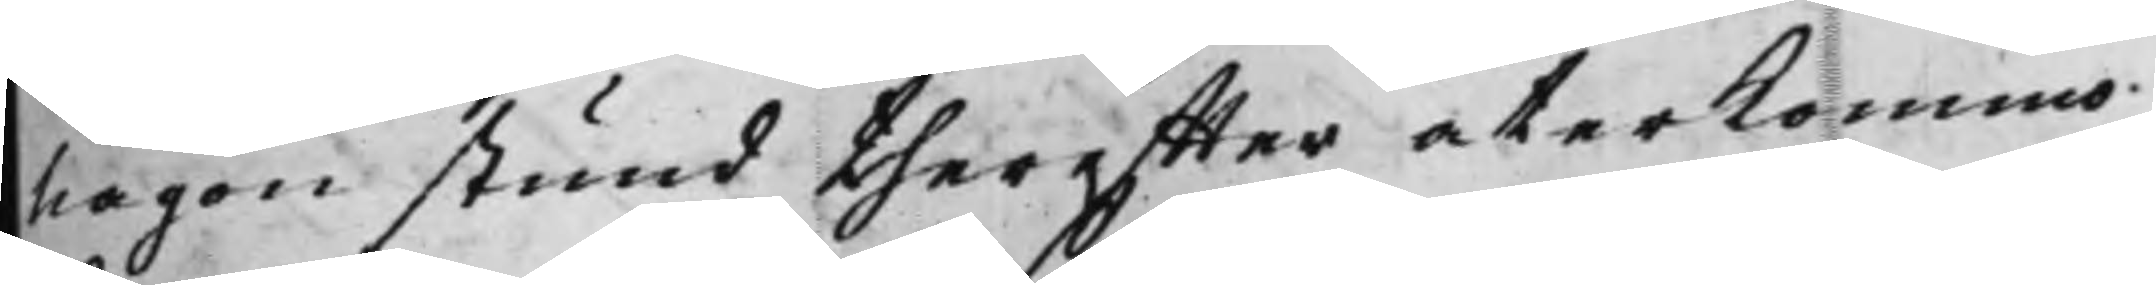Någon stund thereffter återkommo
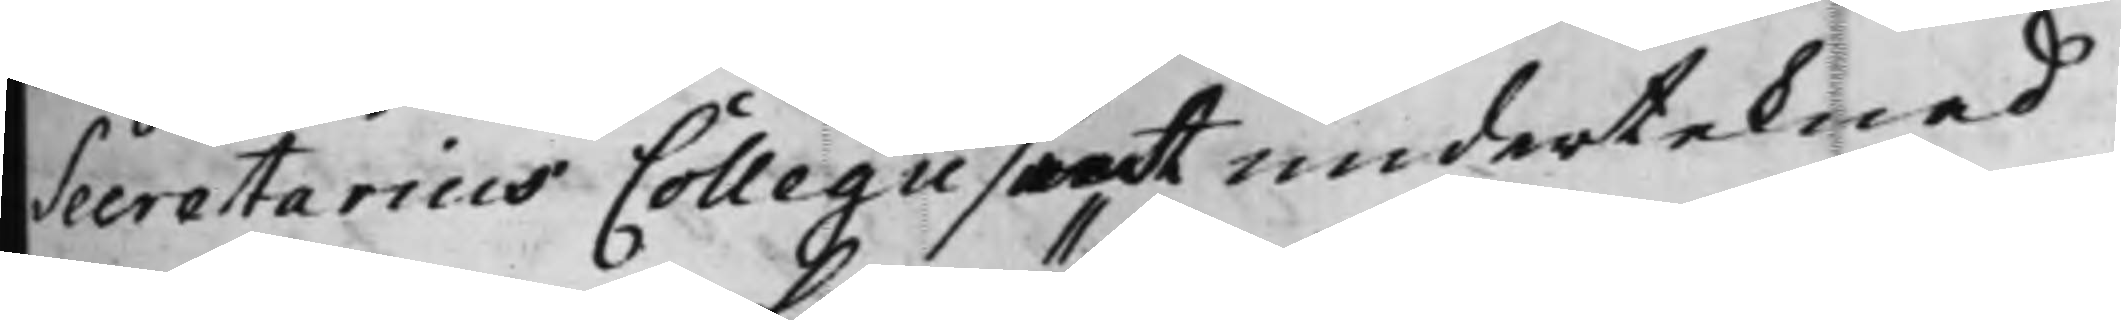Secretarius Collegii samt underteknad
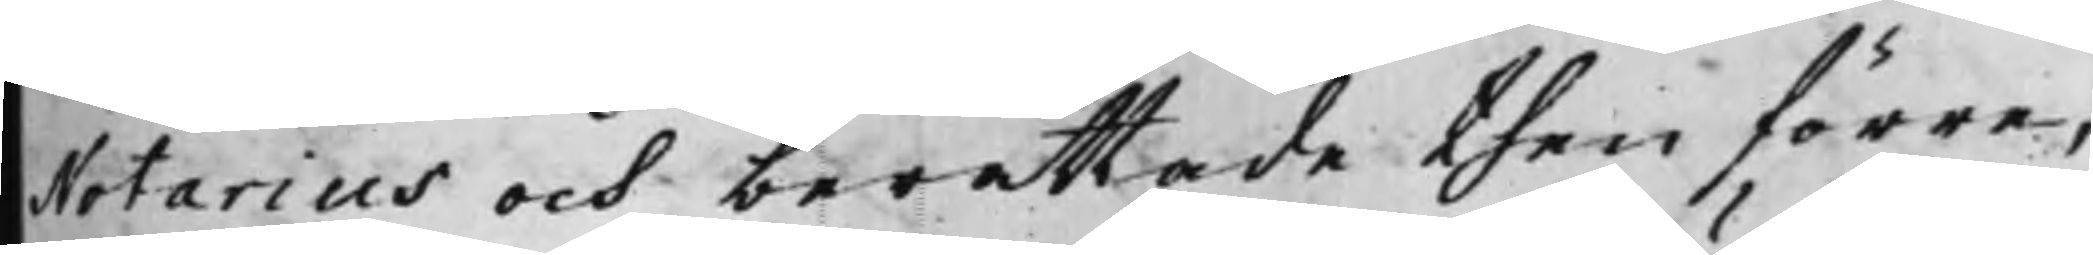Notarius och berättade then förre,
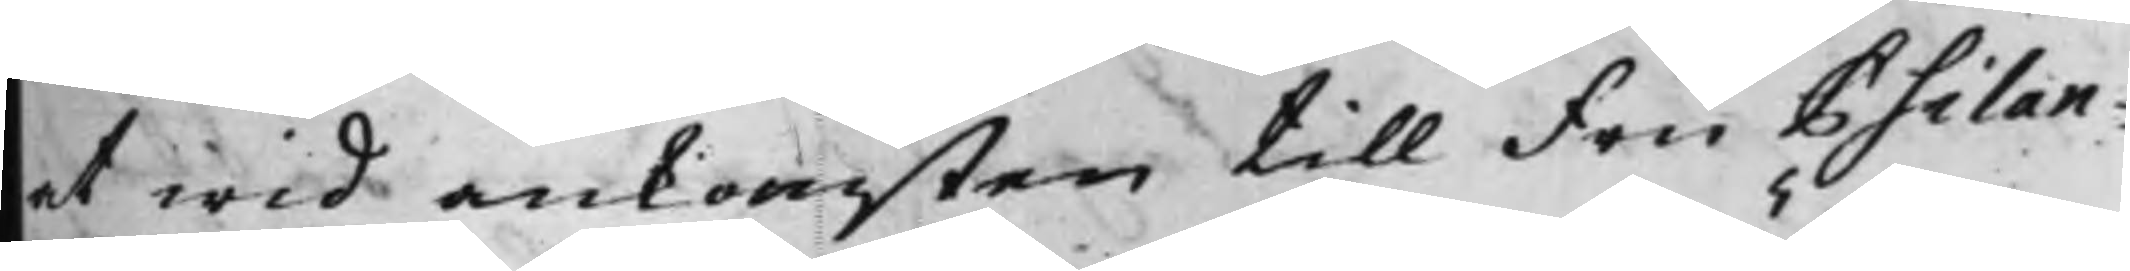at wid ankomsten till Fru Psilan¬
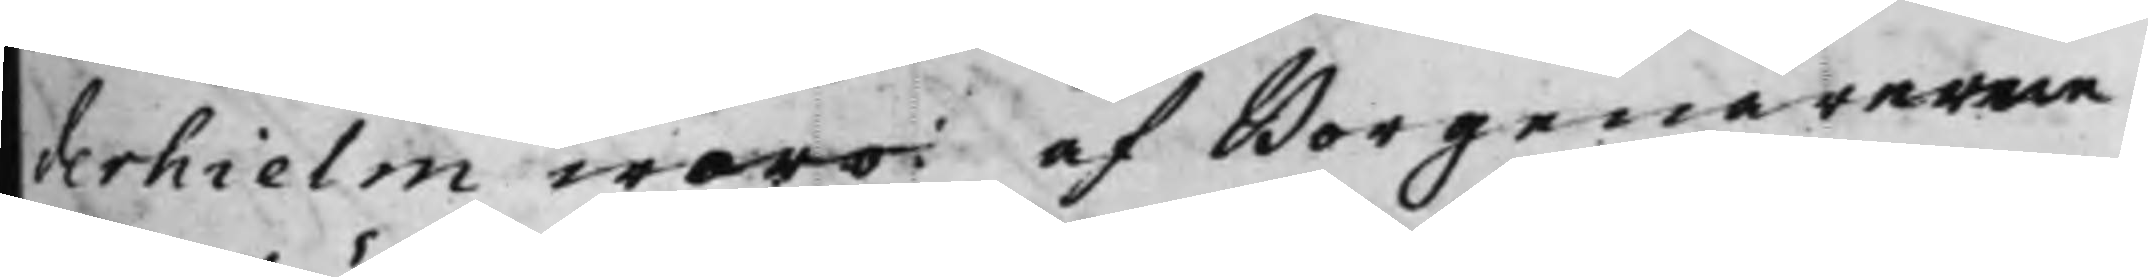derhielm woro af Borgenärerne
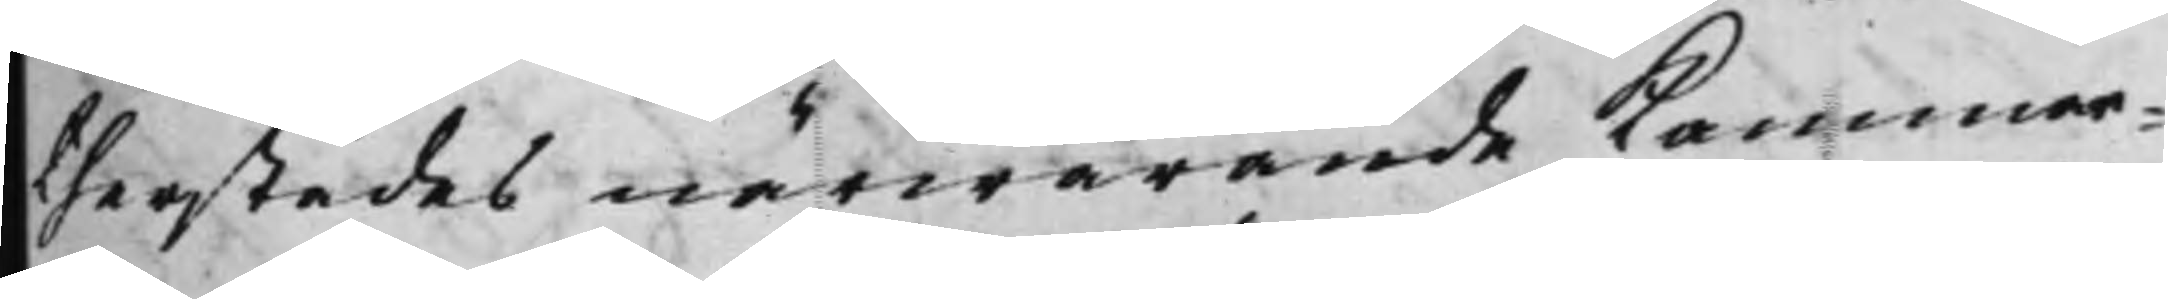therstädes närwarande Kammar¬
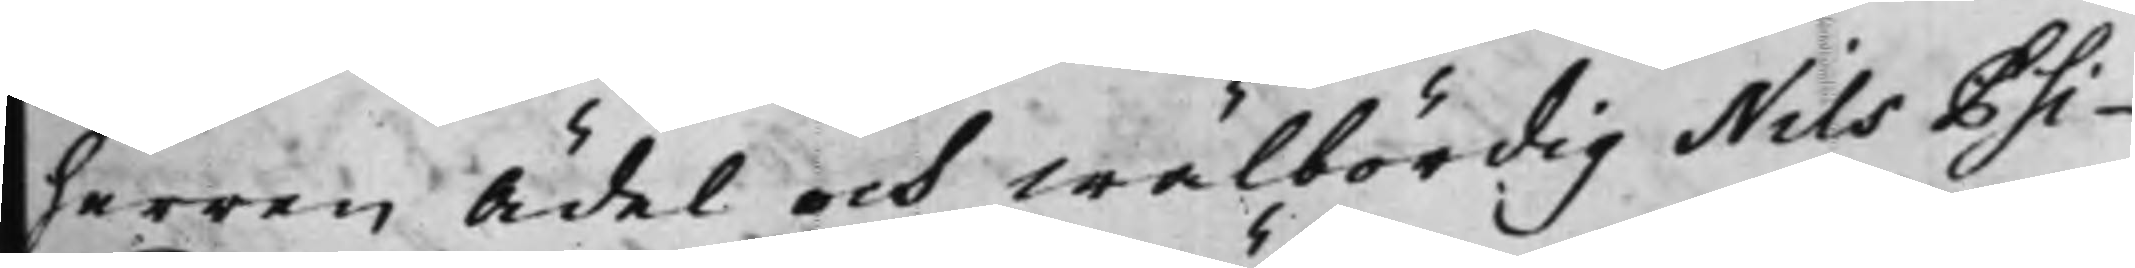herren Ädel och Wälbördig Nils Psi¬
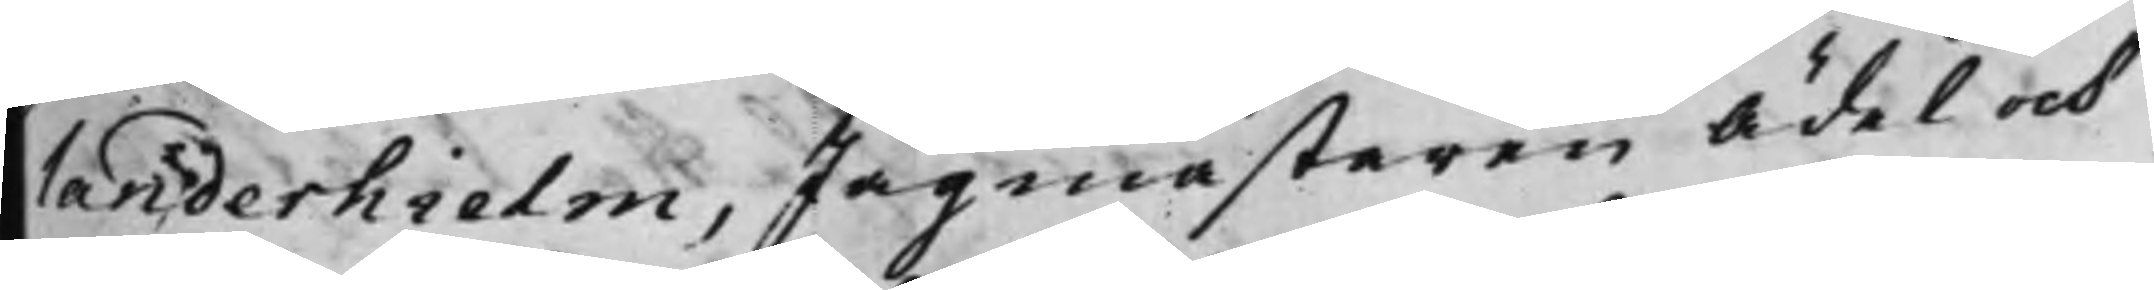landerhielm, Jägmästaren Ädel och
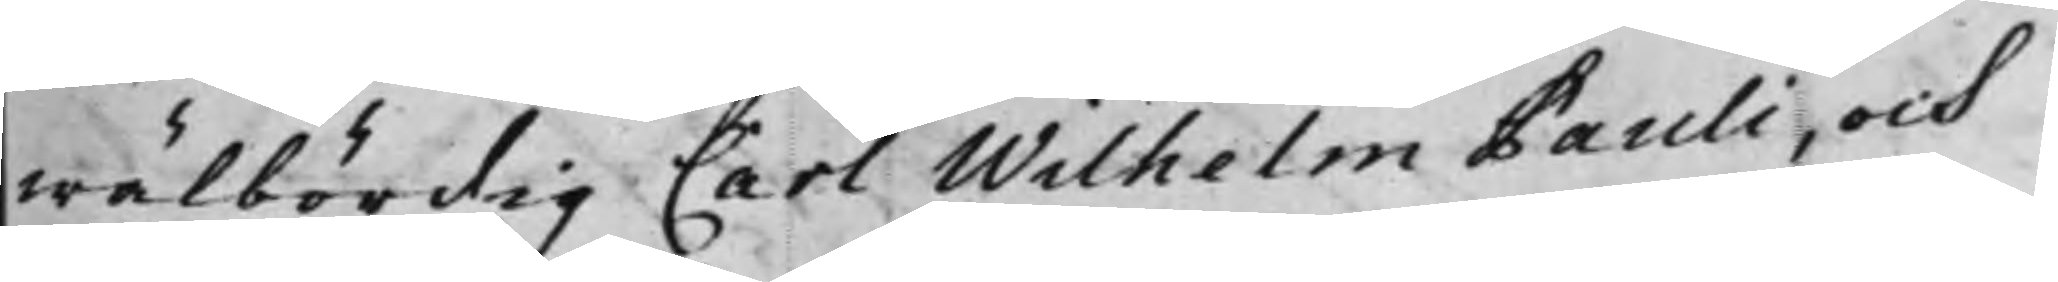wälbördig Carl Wilhelm Pauli, och
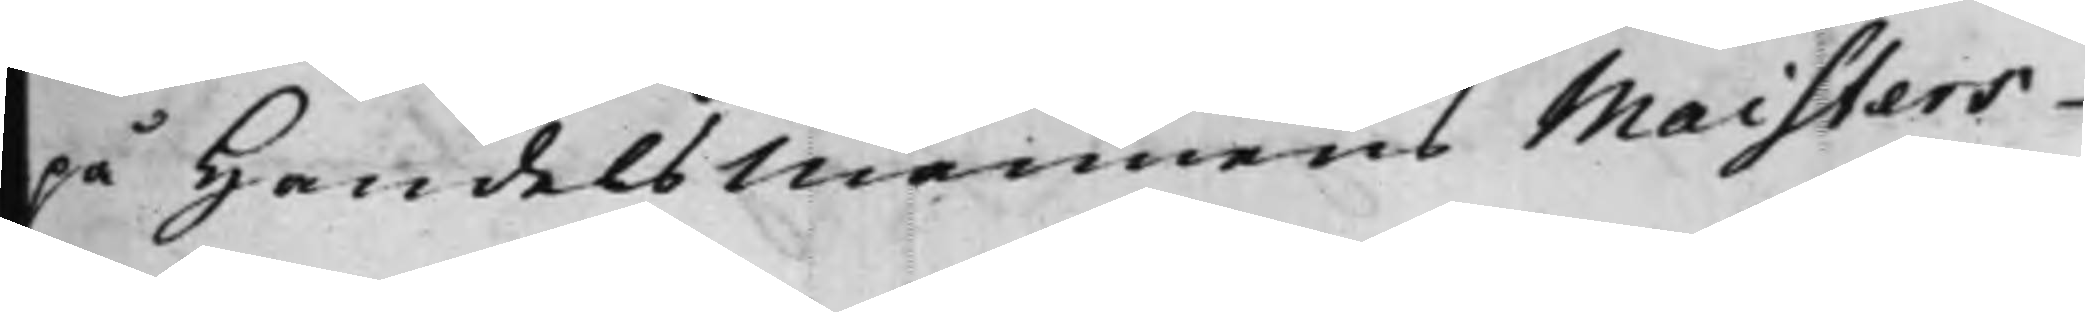på Handelsmannens Maisters
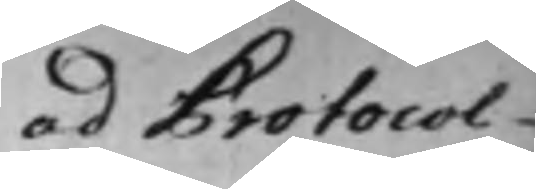ad Protocol¬
